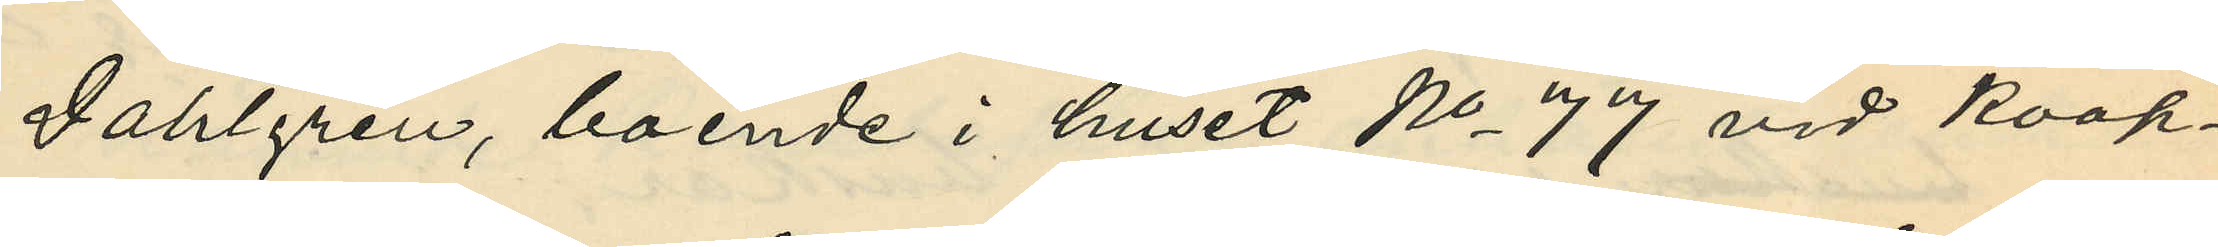Dahlgren, boende i huset No 77 vid Koop¬
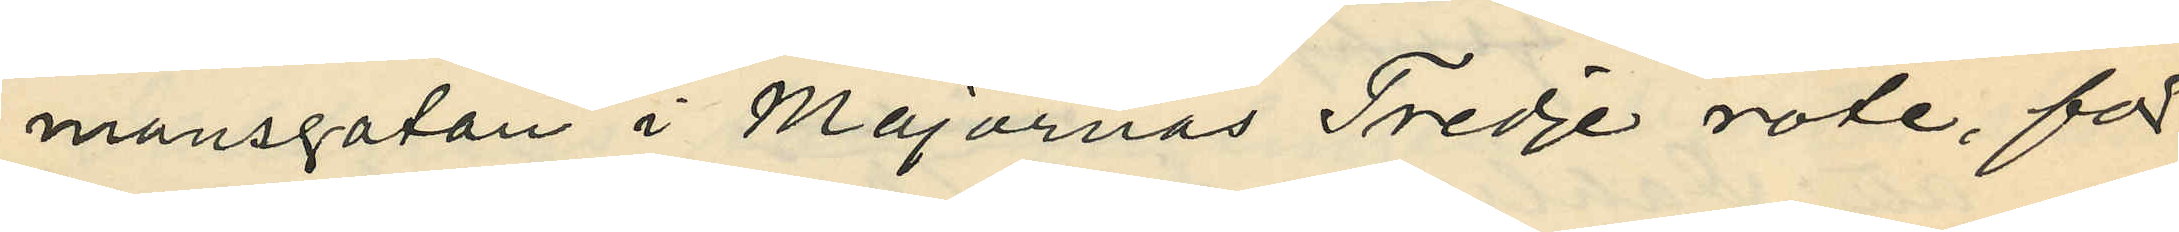mansgatan i Majornas Tredje rote, för
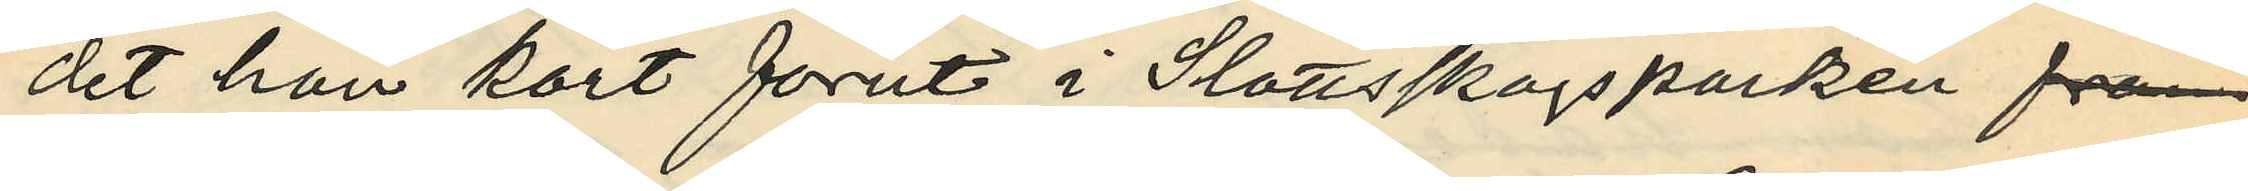det hon kort förut i Slottsskogsparken från
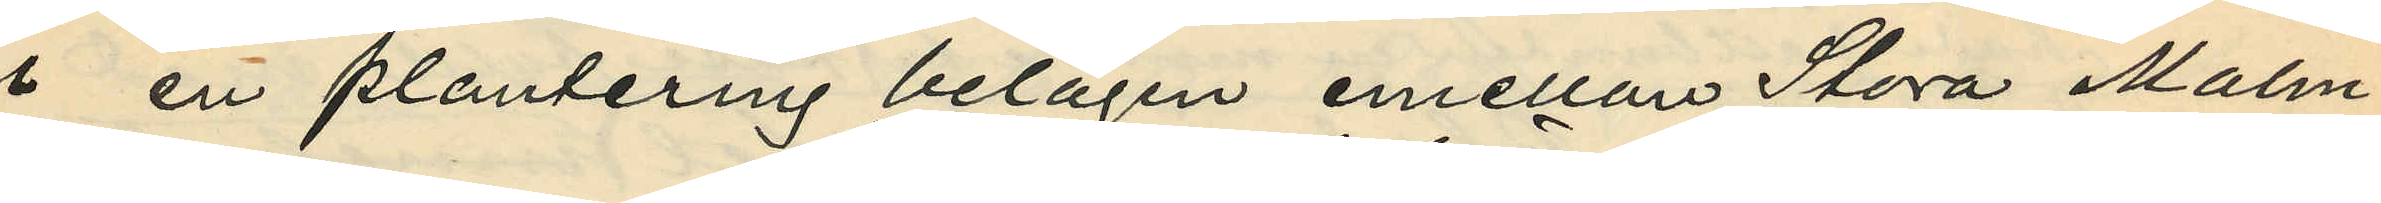i en plantering belägen emellan Stora Malm¬
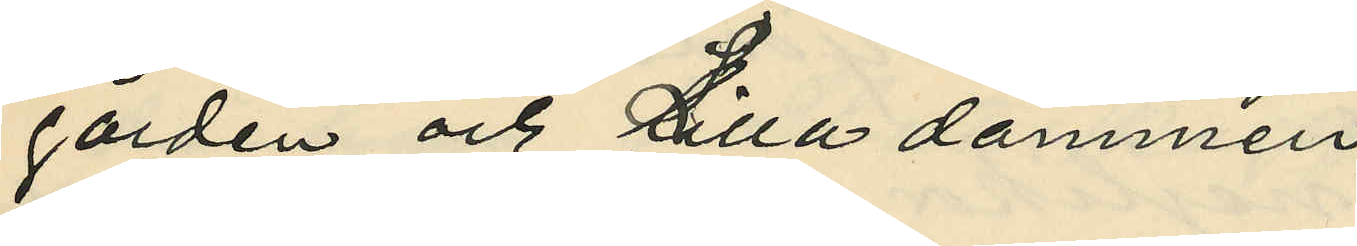gården och Lilla dammen
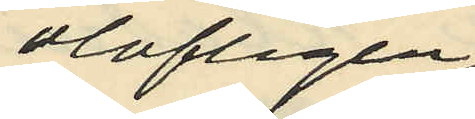olofligen
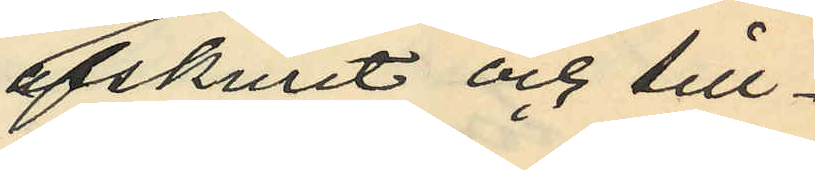afskurit och till¬
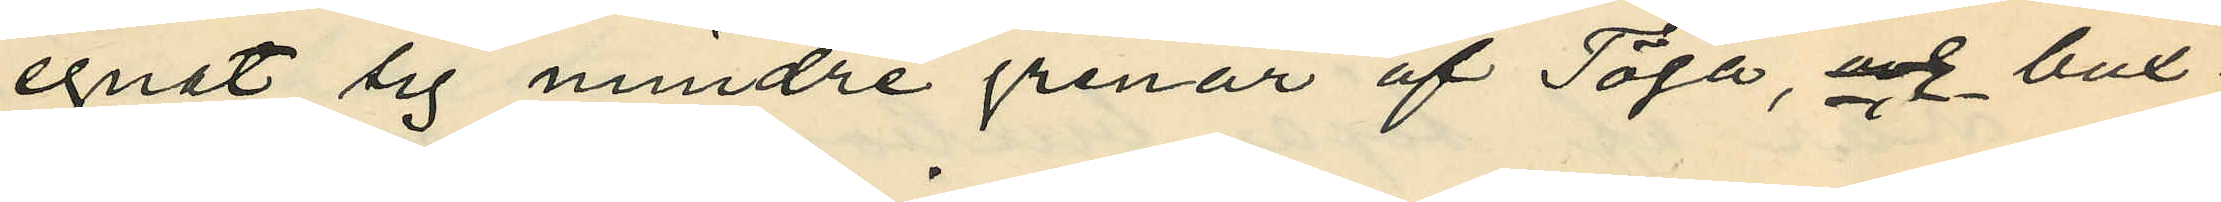egnat sig mindre grenar af Töja, och bux¬
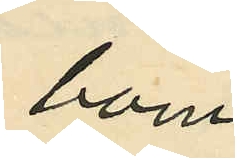bom
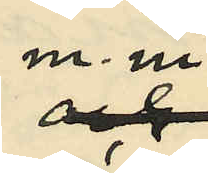m. m.
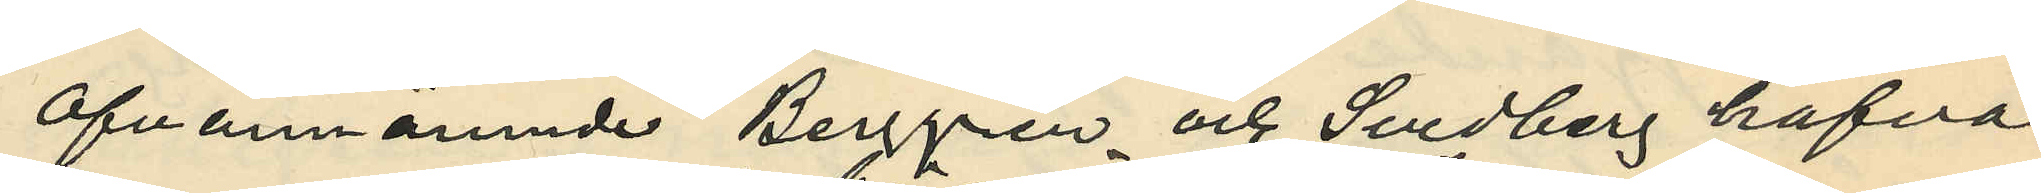ofvannämnde Berggren och Svedberg hafva
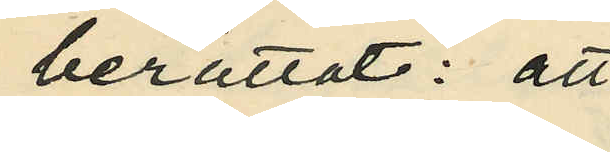berättat: att
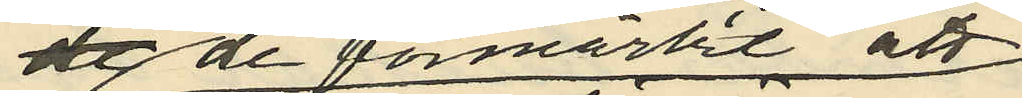de de förmärkt att
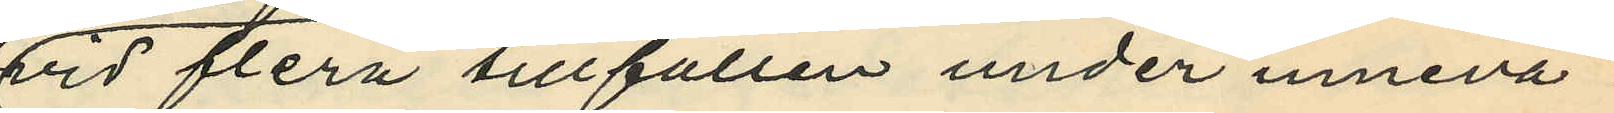vid flera tillfällen under inneva¬
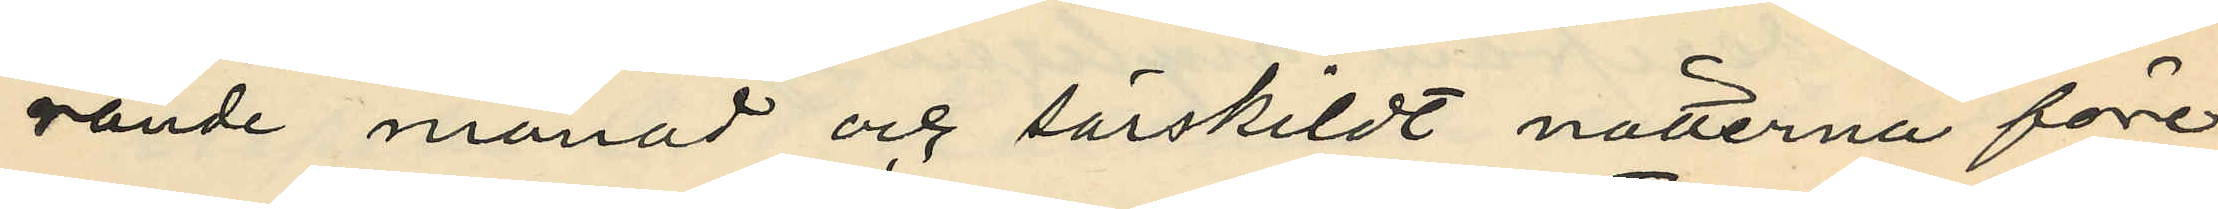rande månad och särskildt nätterna före
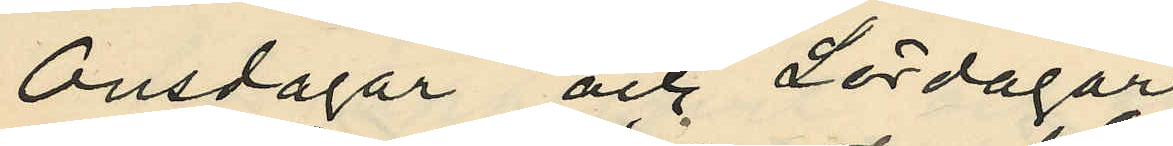Onsdagar och Lördagar
